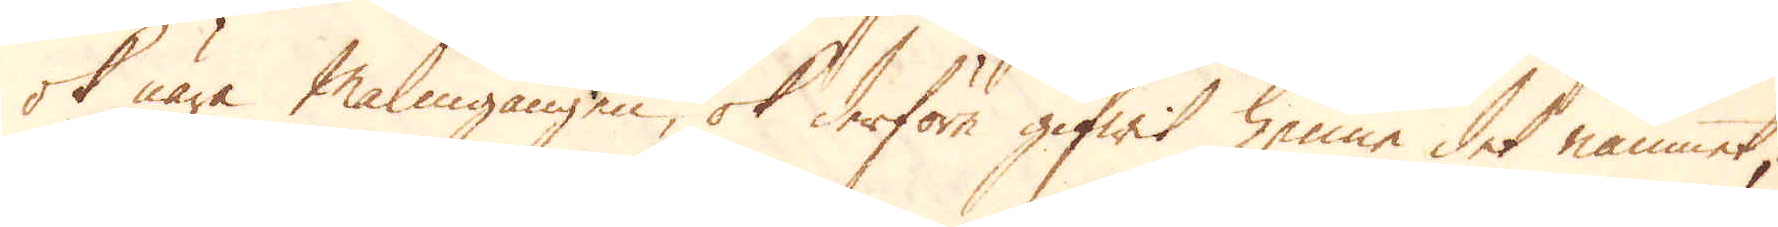ok nära Malmgången, ok derföre gifwit henne det namnet;
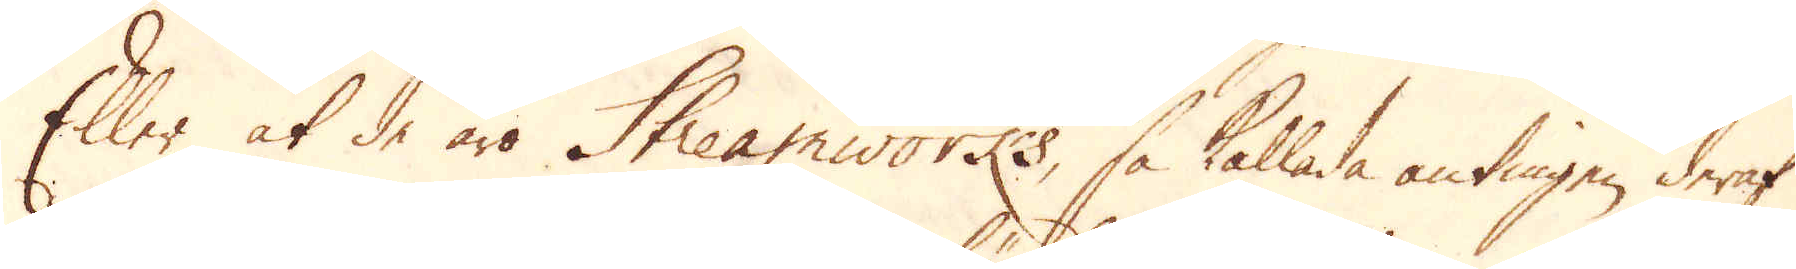Eller at de äro Streamworks, så kallade antingen deraf
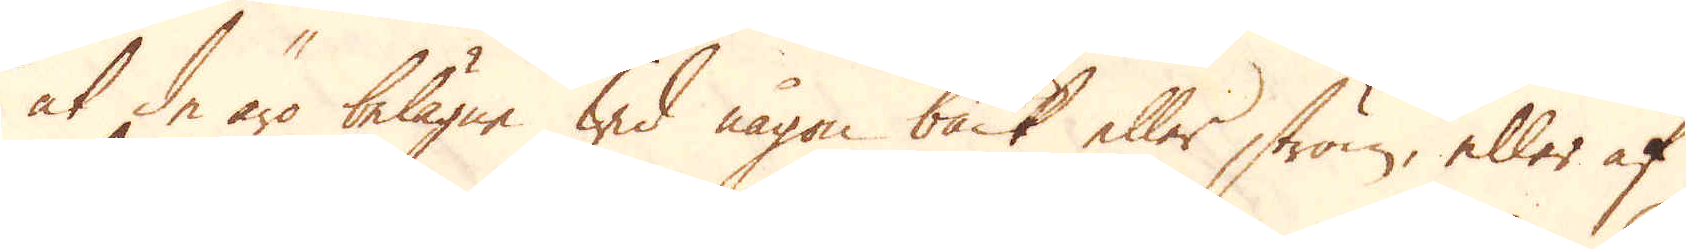at de äro belägne wid någon bäck eller ström, eller af
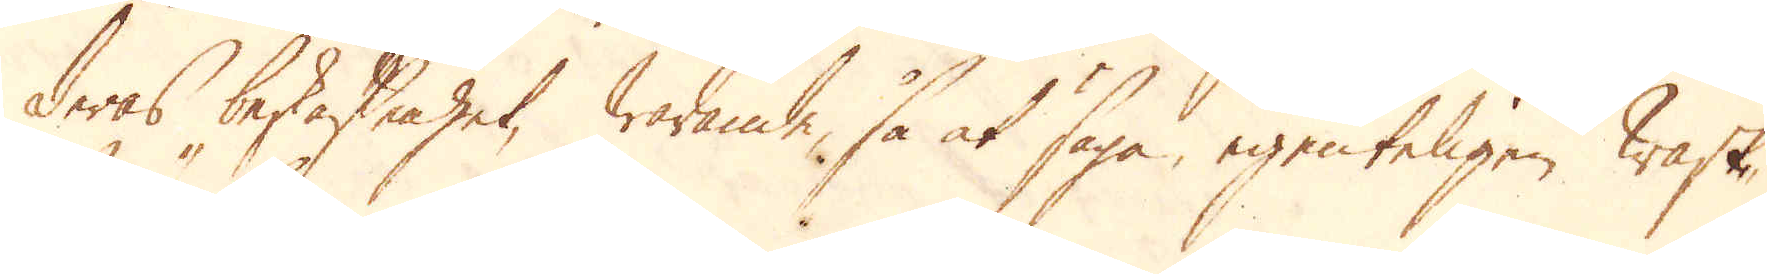deras beskaffenhet, warande, så at säga, egenteligen wask-
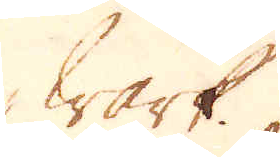wärk.
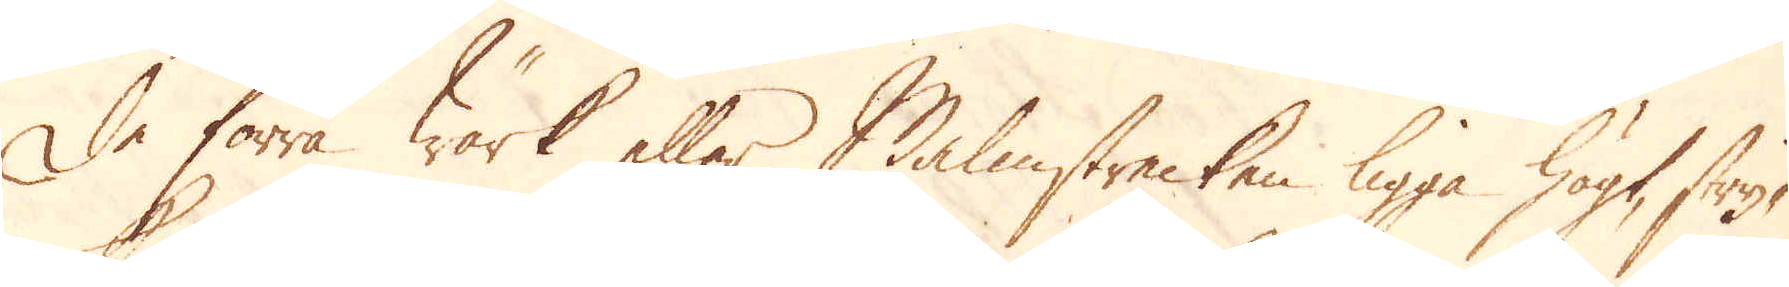De förra Wärk eller Malmstrecken ligga högt, stry-
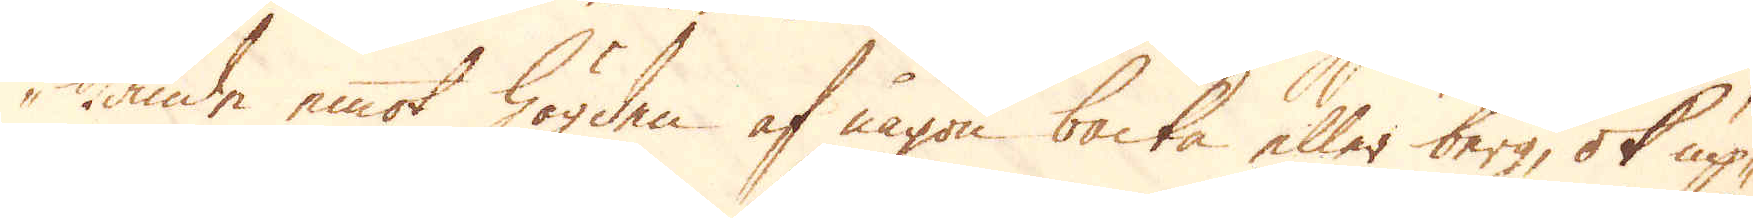kande emot högden af någon backa eller berg, ok up-
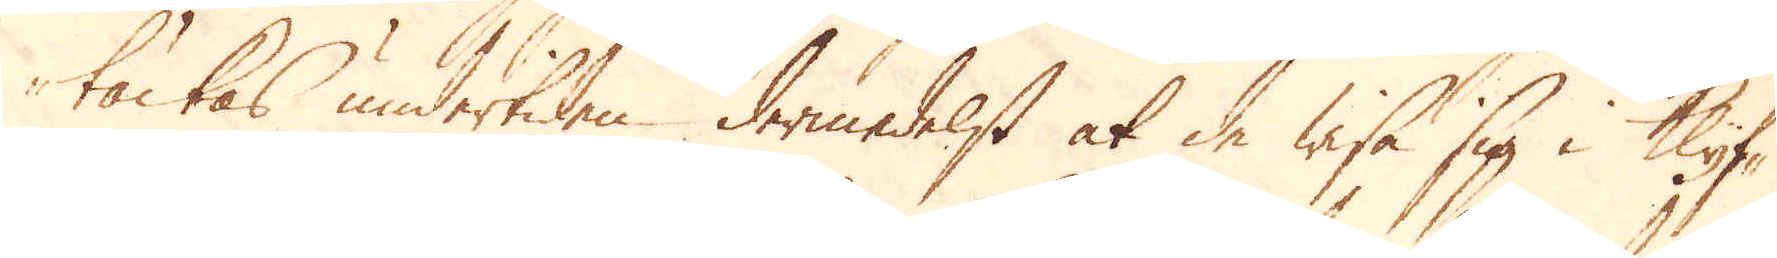täckas undertiden dermedelst at de wisa sig i Klyf-
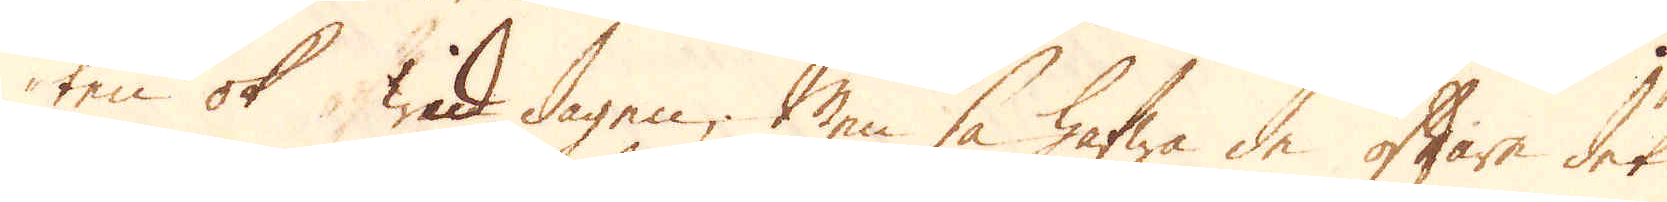ten ok wid dagen; Men så hafwa de oftare det
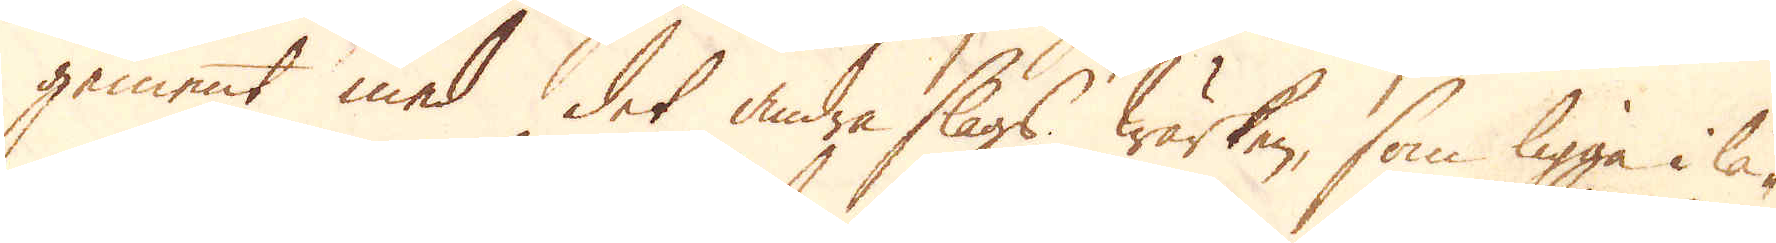gement med det andra slags Wärken, som ligga i lå-
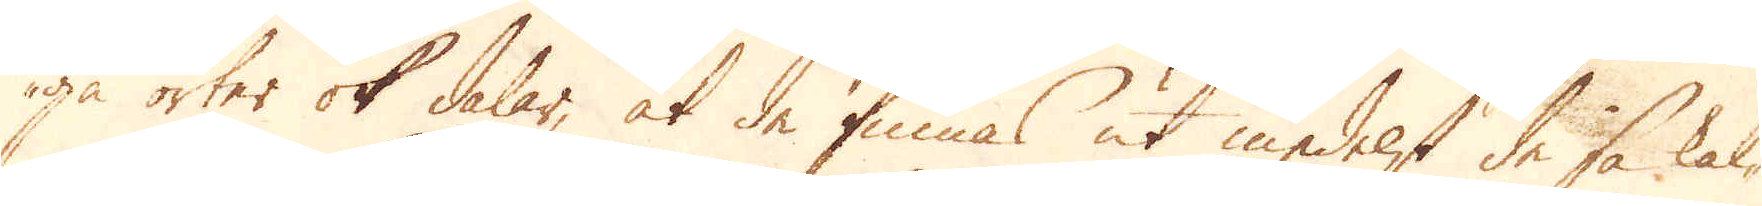ga orter ok dalar, at de finnas ut medelst de så kal-
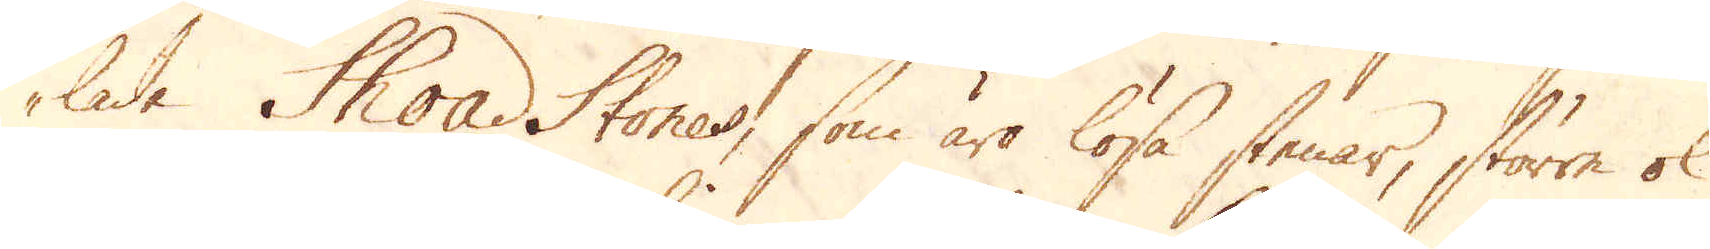lade Shoad Stones, som äro lösa stenar, större ok
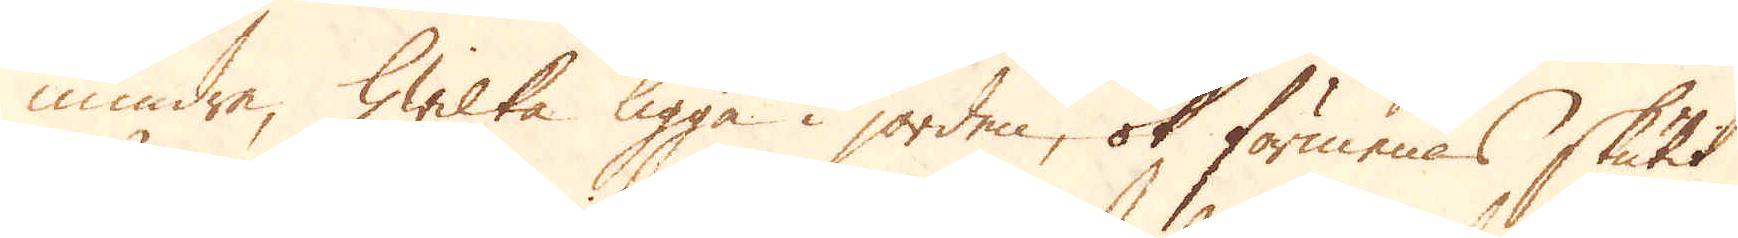mindre, hwilka ligga i jorden, ok förmenas skutit
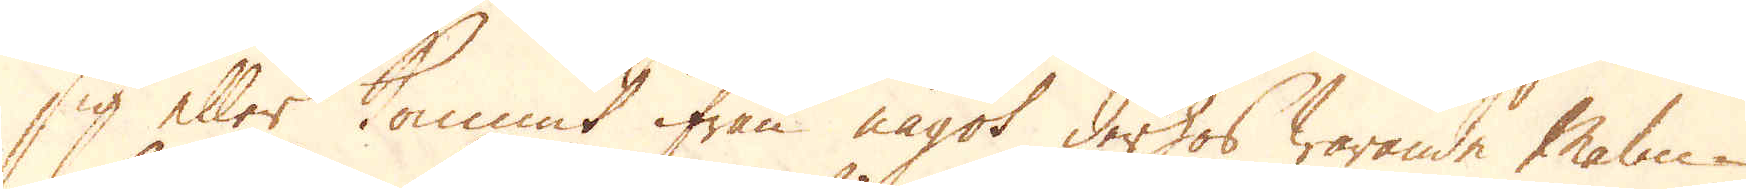sig eller kommit ifrån något derhos warande Malm-
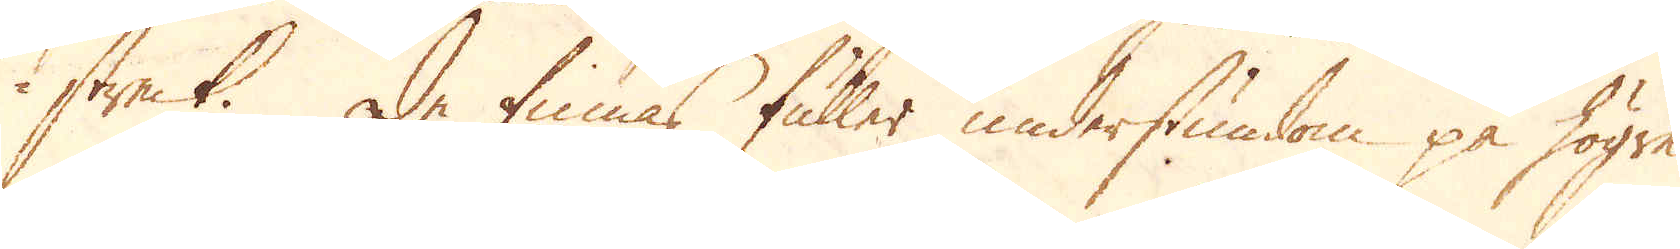streck. De finnas fuller understundom på högre
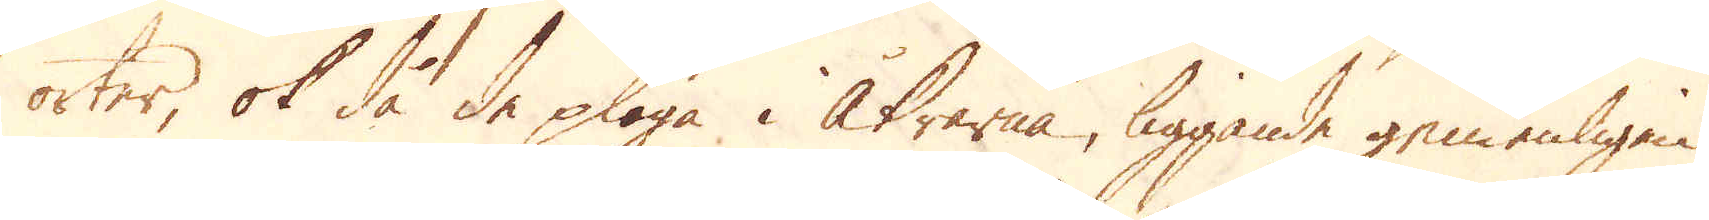orter, ok då de plöga i åkrarna, liggande gemenligen
